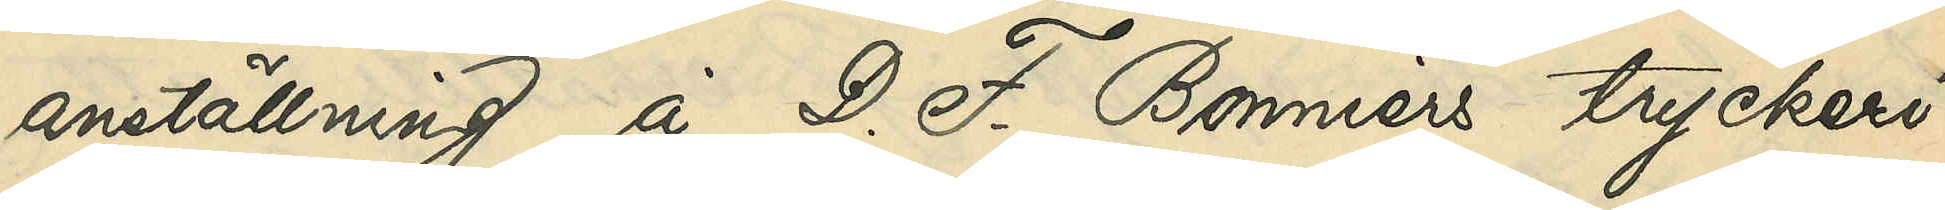anställning å D. F. Bonniers tryckeri
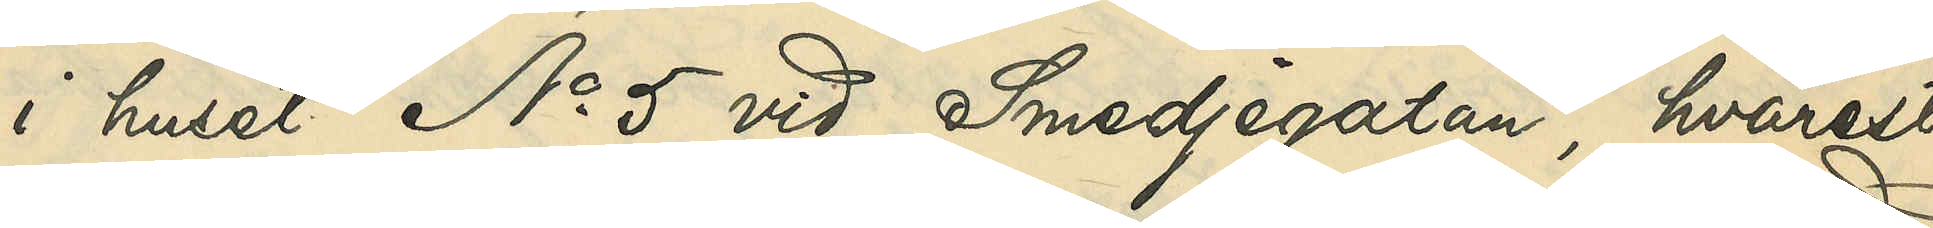i huset No 5 vid Smedjegatan, hvarest
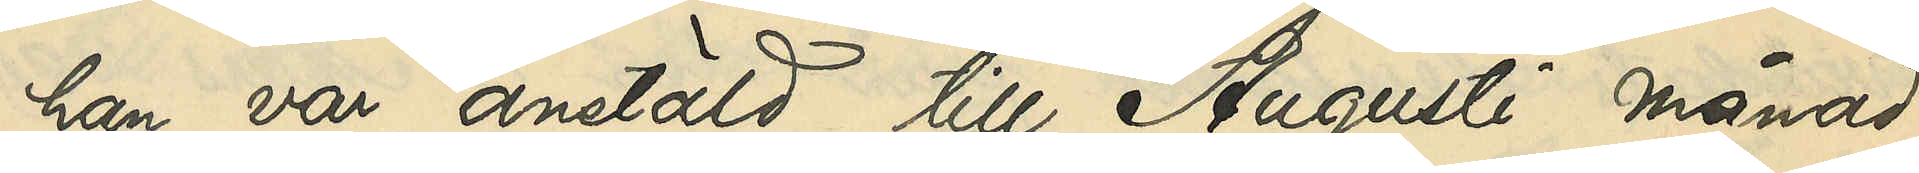han var anstäld till Augusti månad
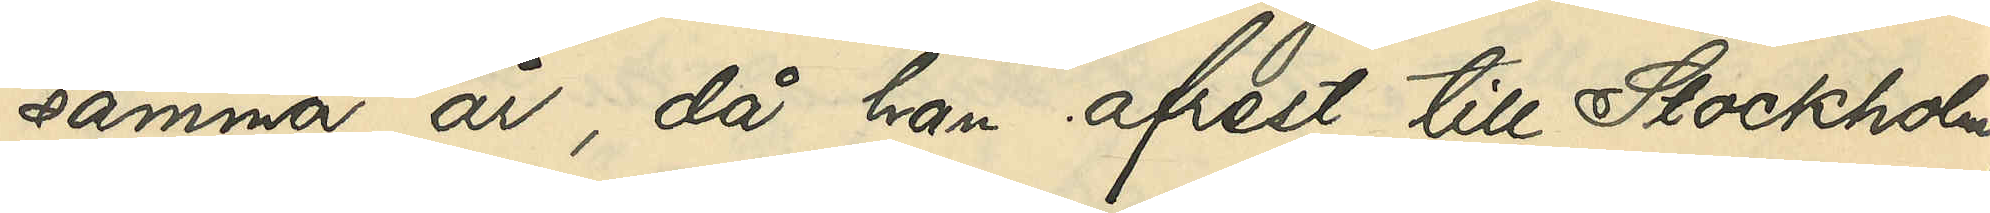samma år, då han afrest till Stockholm;
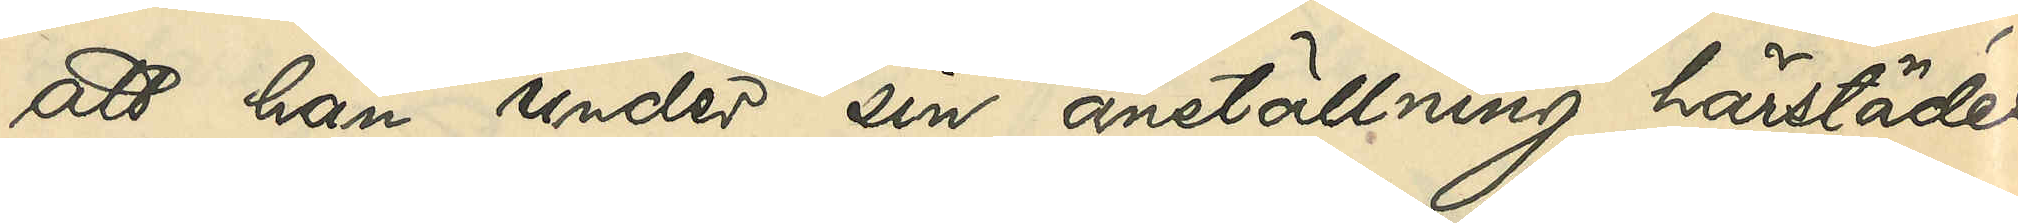att han under sin anställning härstädes
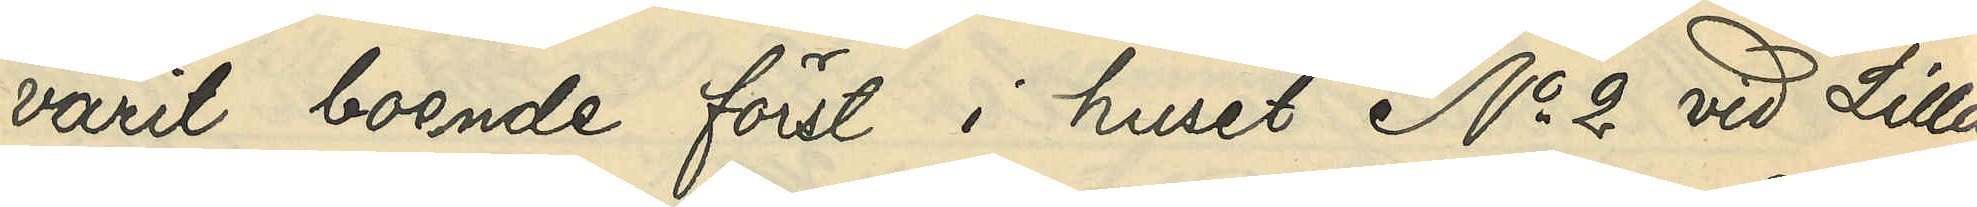varit boende först i huset No 2 vid Lilla
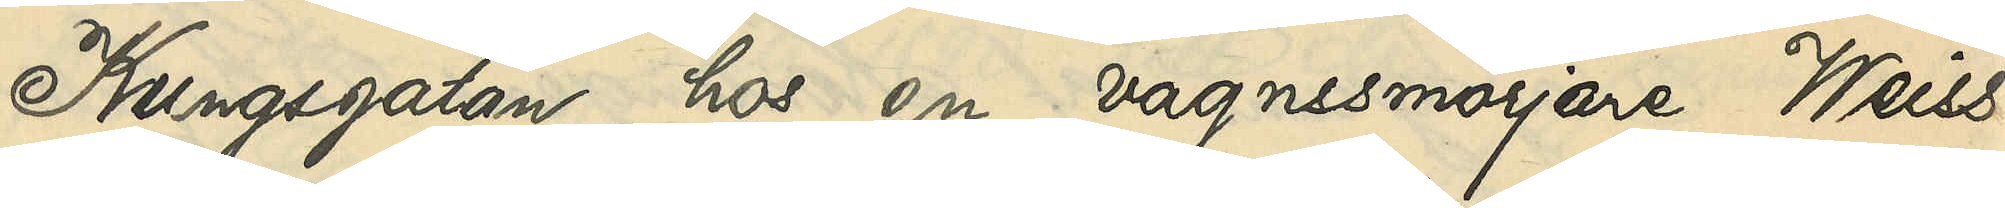Kungsgatan hos en vargnssmörjare Weiss
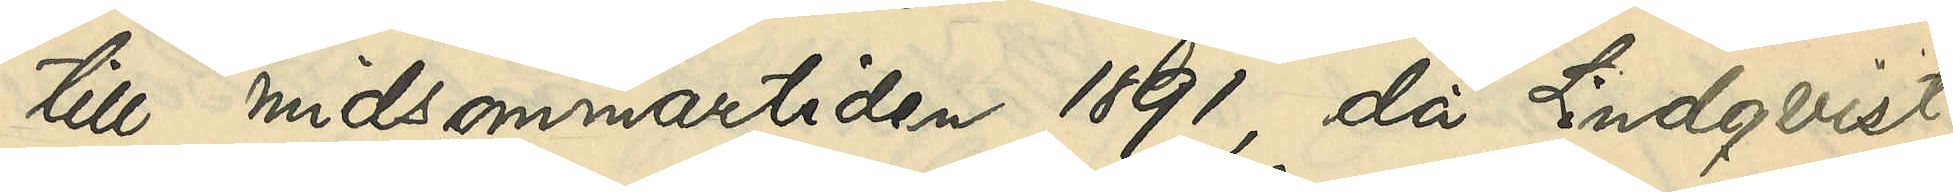till midsommartiden 1891, då Lindqvist
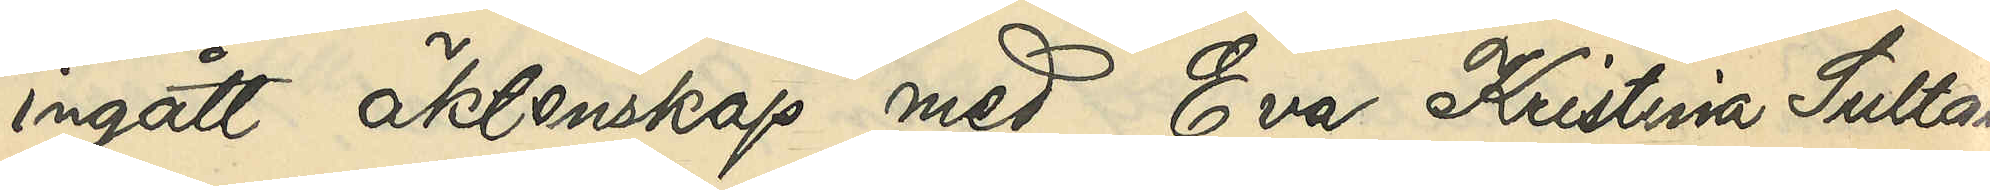ingått äktenskap med Eva Kristina Sultan,
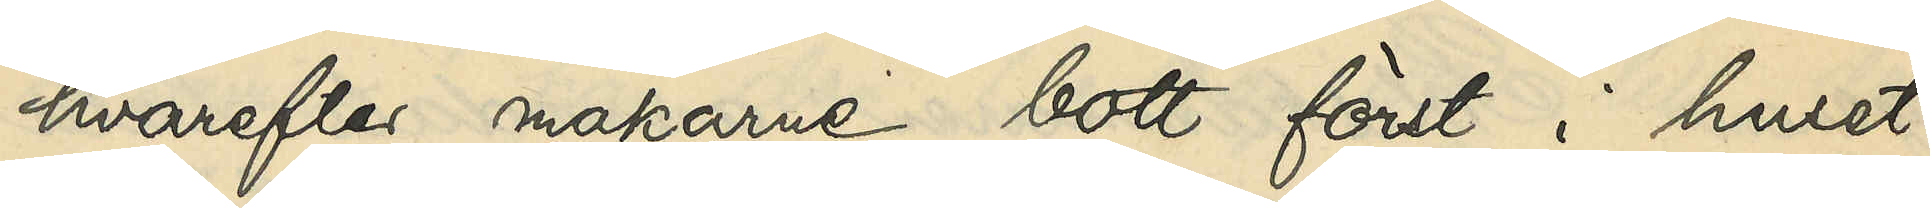hvarefter makarne bott först i huset
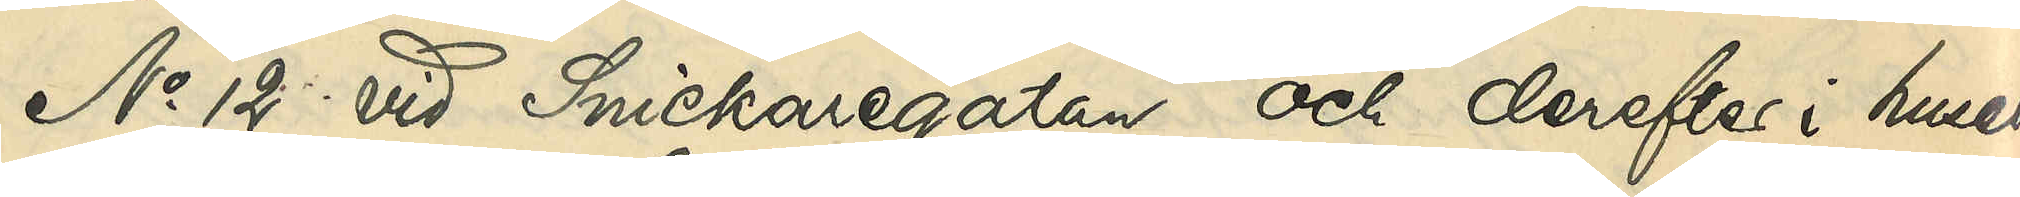No 12 vid Snickaregatan och derefter i huset
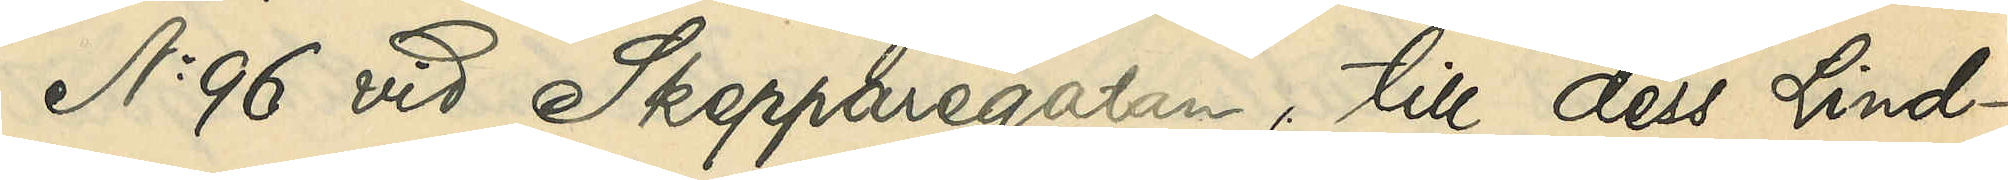No 96 vid Skepparegatan, till dess Lind¬
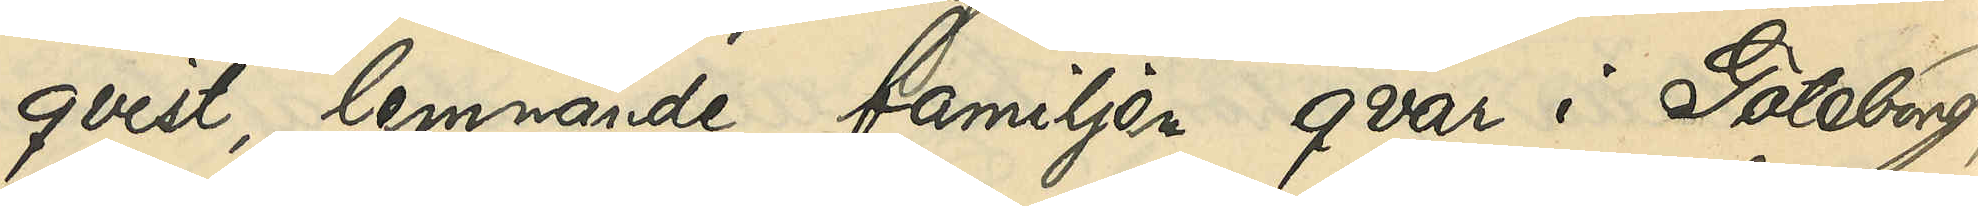qvist lemnande familjen qvar i Göteborg,
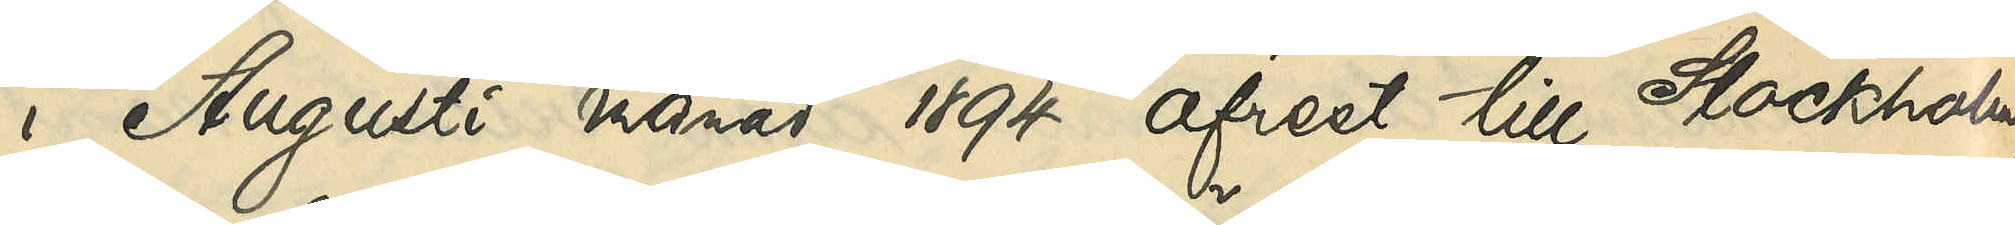i Augusti månad 1894 afrest till Stockholm,
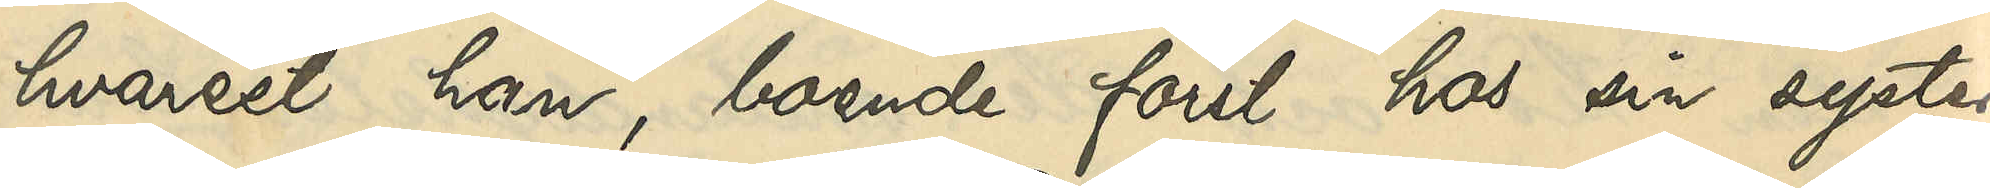hvarest han, boende först hos sin syster,
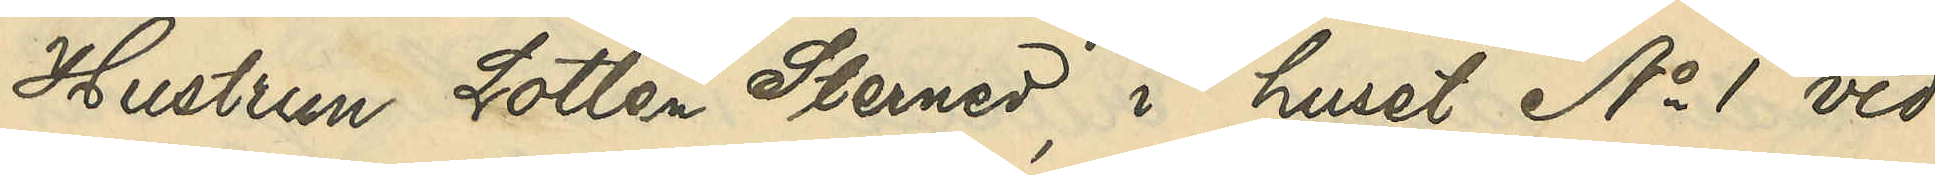Hustrun Lotten Sterner, i huset No 1 vid
